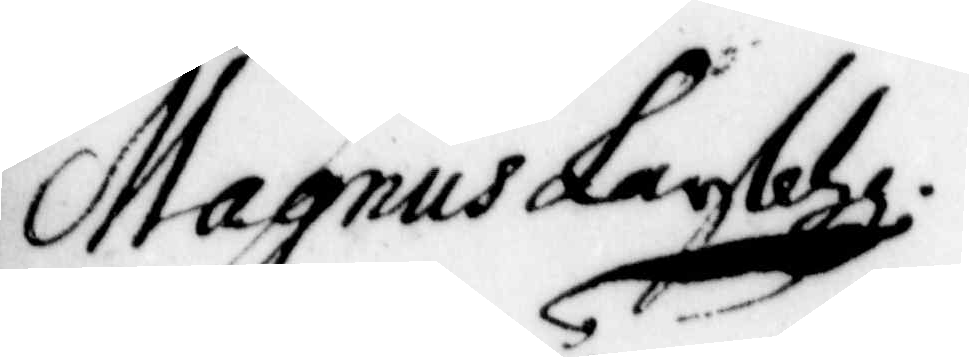Magnus Larsohn
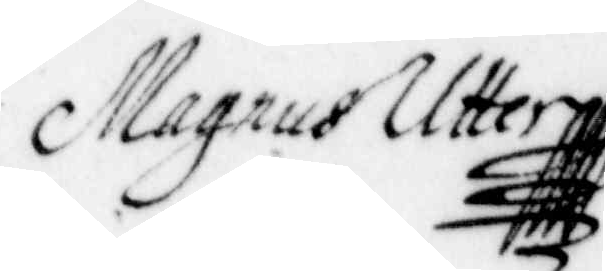Magnus Utter
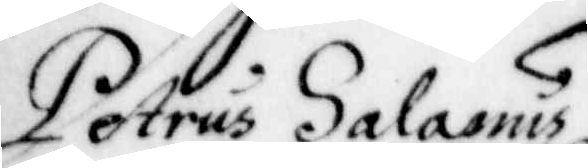Petrus Salanus
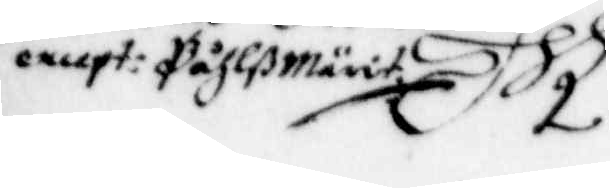e.cept: Påhlß Märit
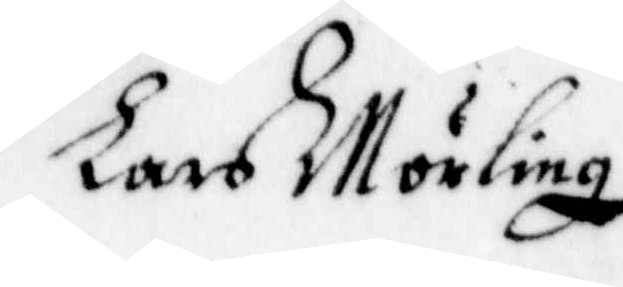Lars Mörling
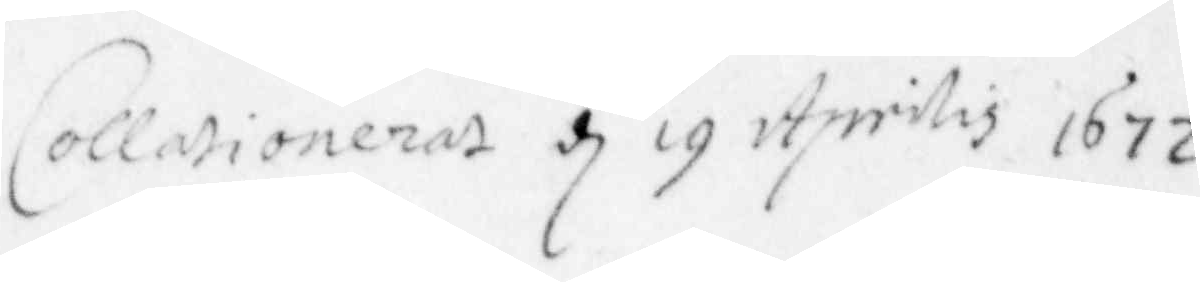Collationeras d 19 Aprilis 1672
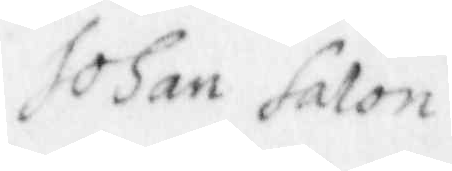Johan Salon
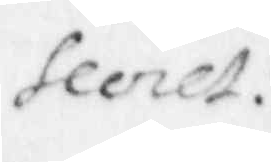Secret:
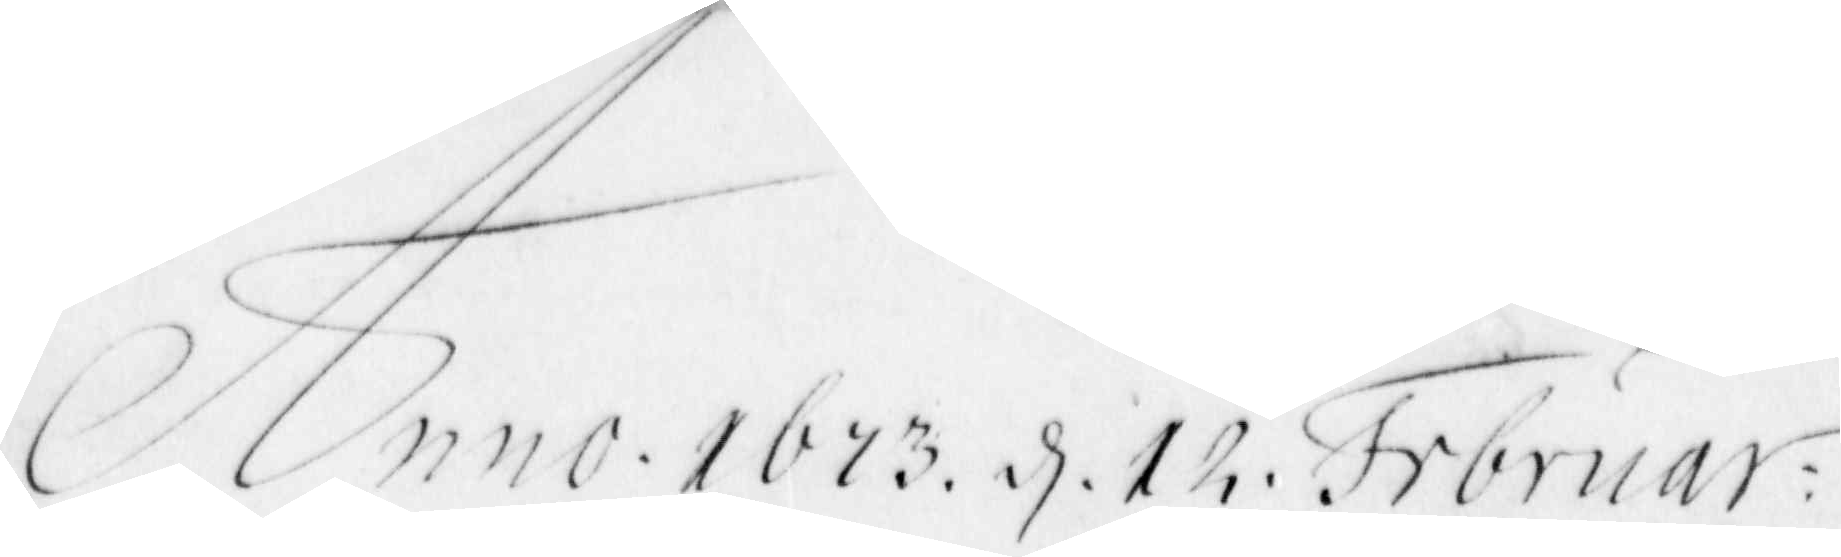Anno 1673. d. 12. februar:
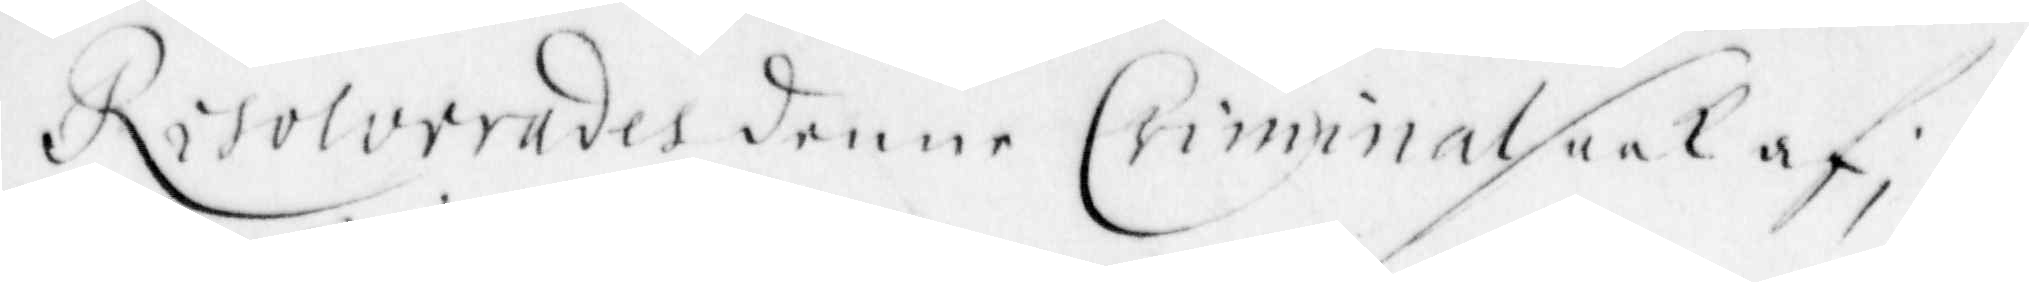Resolverades denne Criminalsaak af;
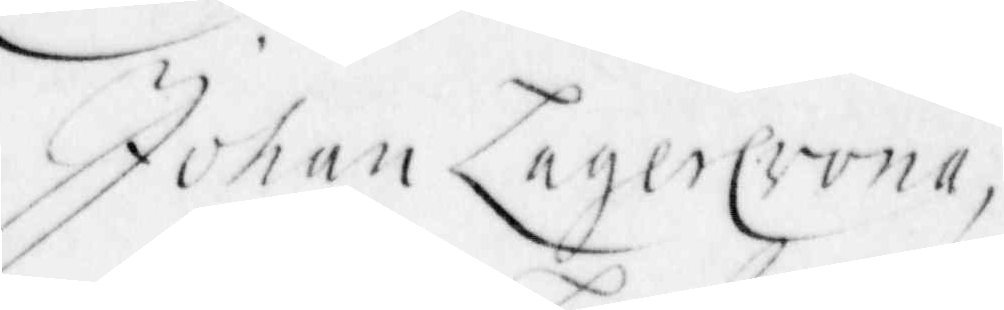Johan Lagercrona,
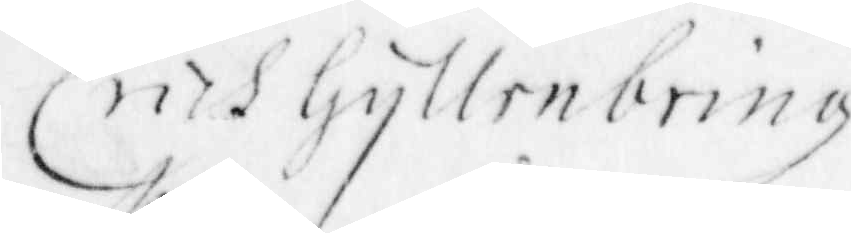Erich Gyllenbring
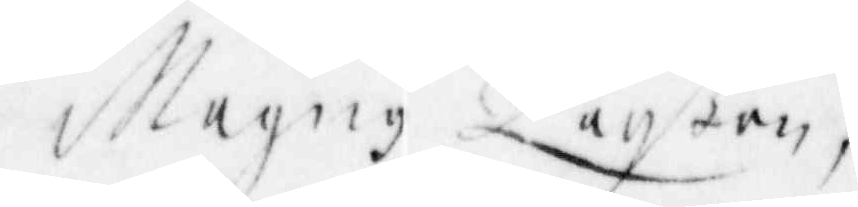Magng Larßon,
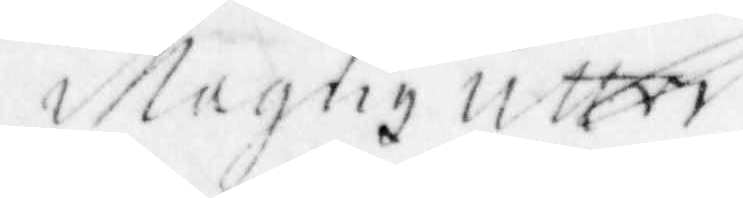Magng Utter
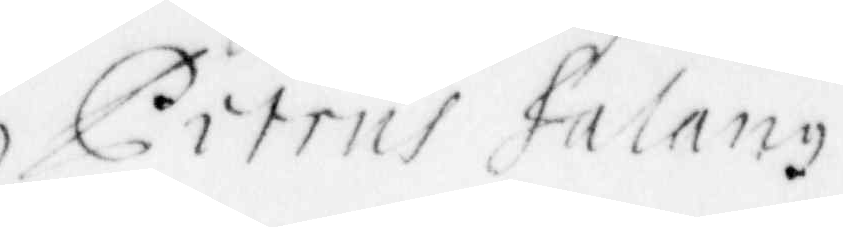Citrus Halang
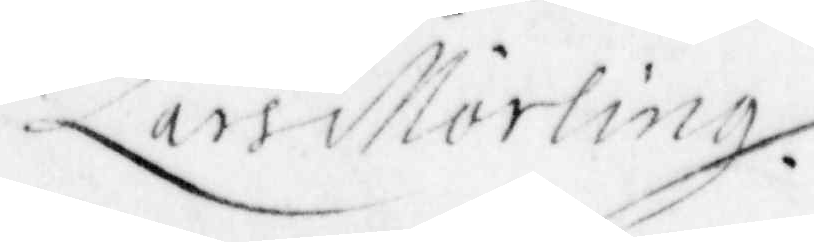Lars Mörling.
